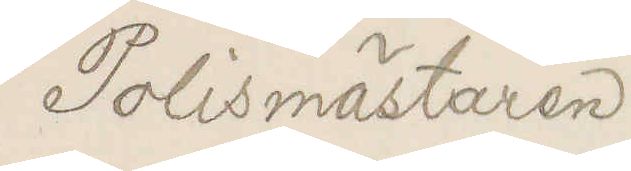Polismästaren
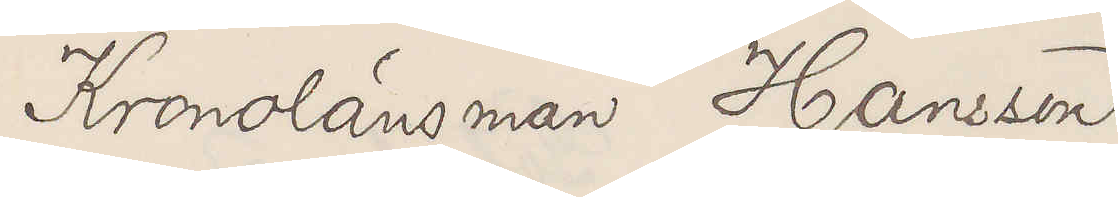Kronolänsman hansson
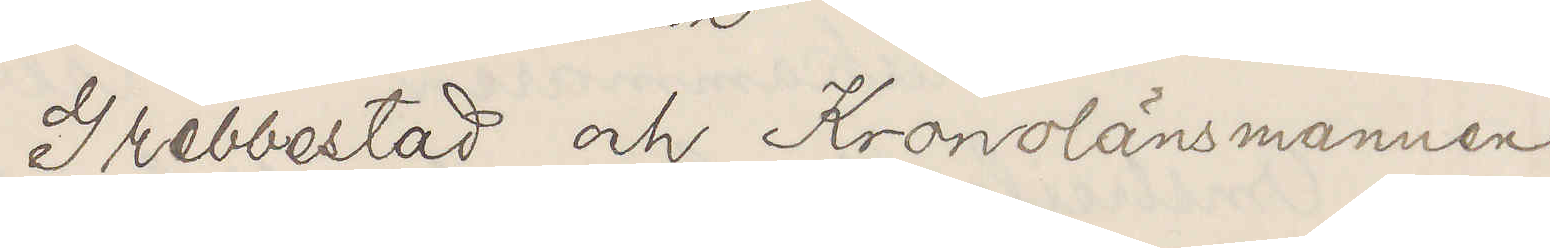Grebbestad och kronolänsmannen
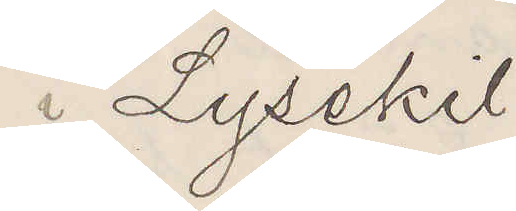i Lysekil
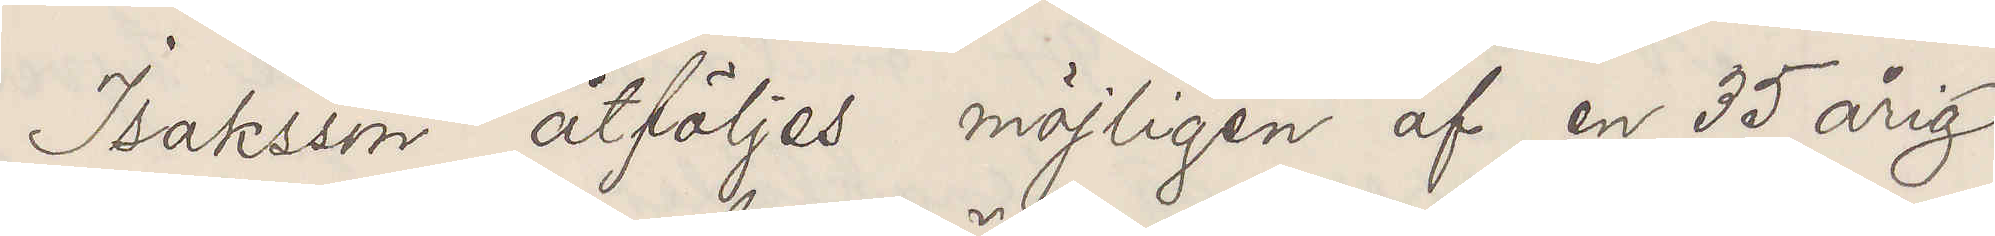Isaksson åtföljes möjligen af en 35 årig
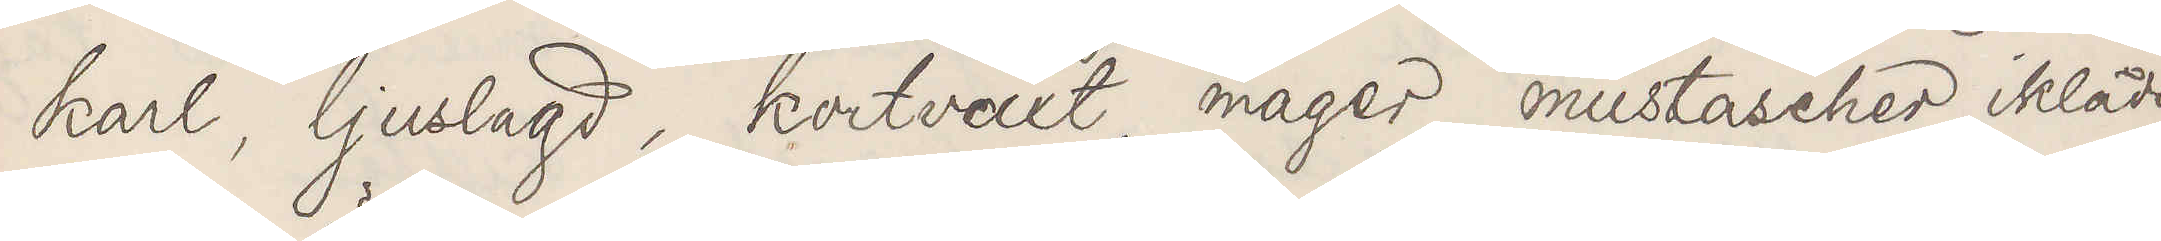karl, ljuslagd, kortväxt, mager, mustascher, iklädd
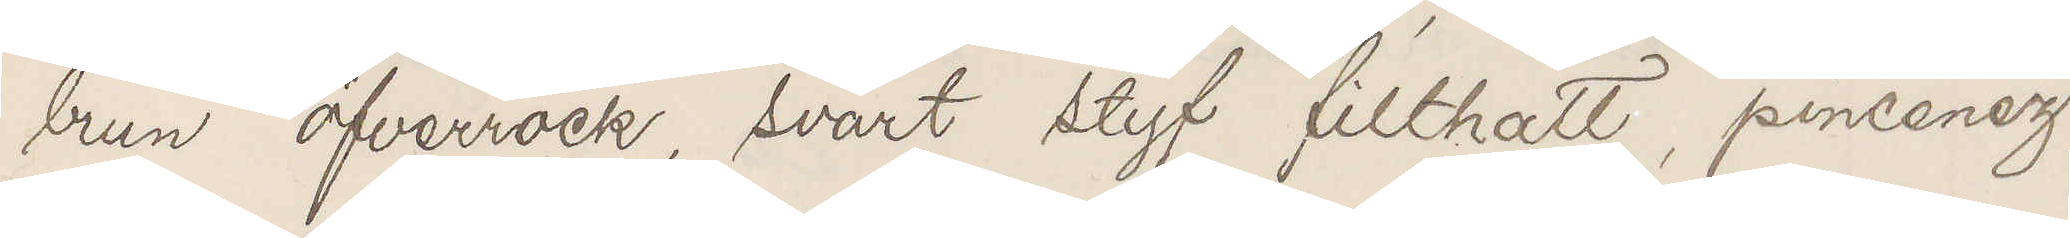brun öfverrock, svart styf filthatt, pincenez
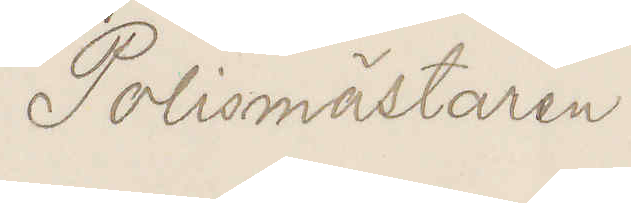Polismästaren
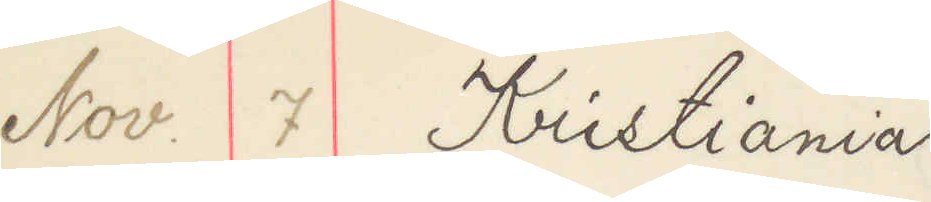Nov. 7 Kristiania
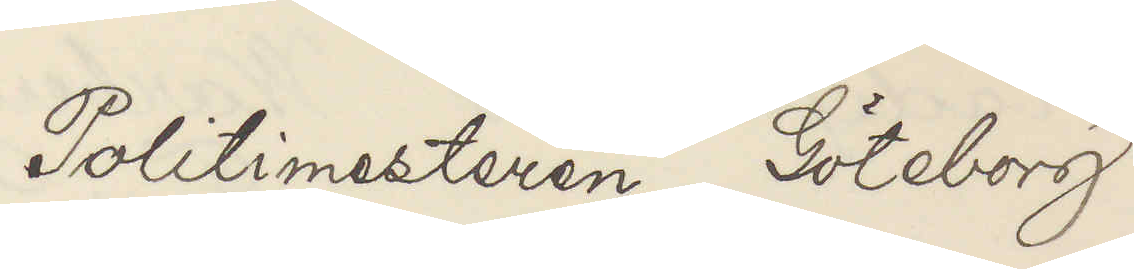Politimesteren Göteborg
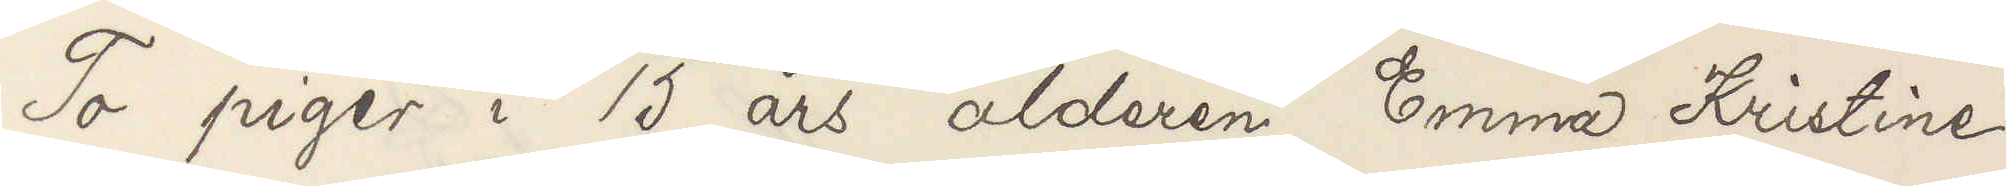To piger i 15 års alderen Emma Kristine
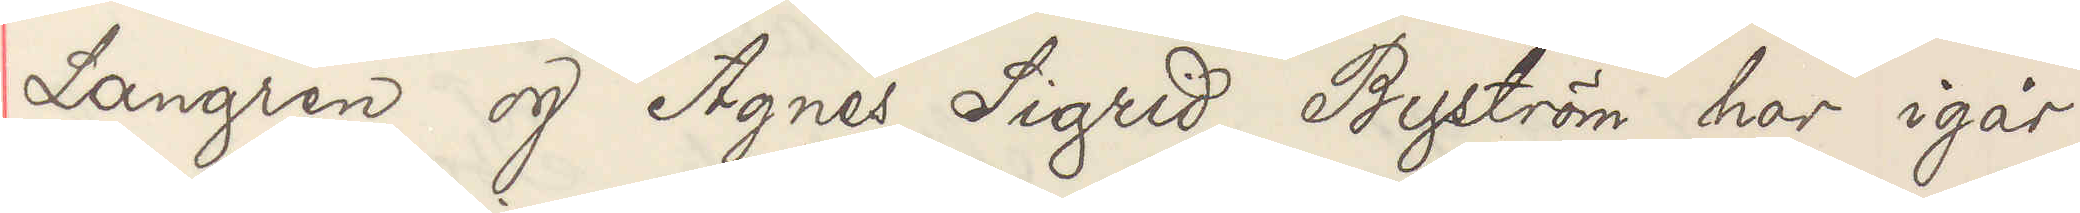Langren og Agnes Sigrid Byström har igår
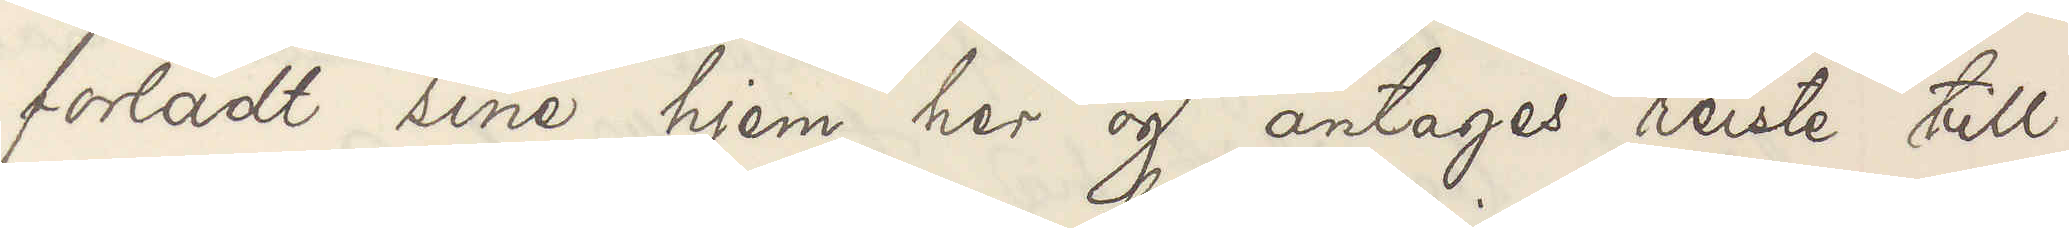forladt sine hjem her og antages reiste till
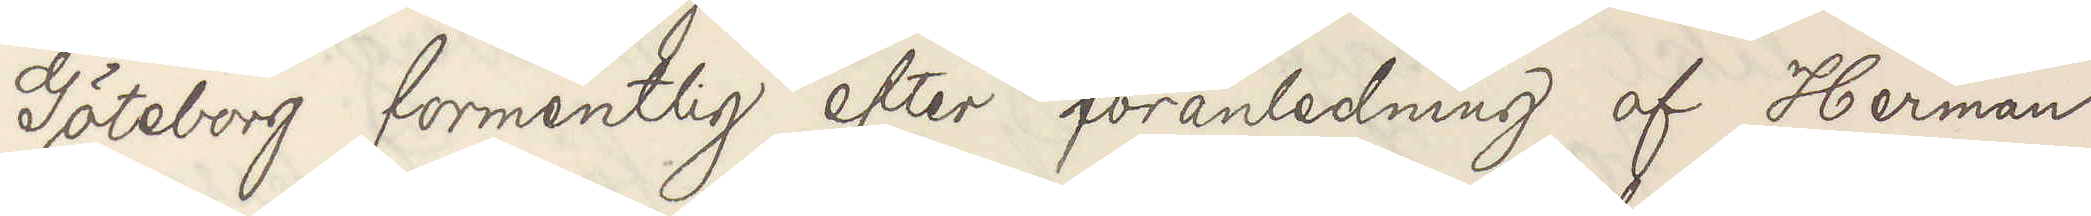Göteborg formentlig efter foranledning af Herman
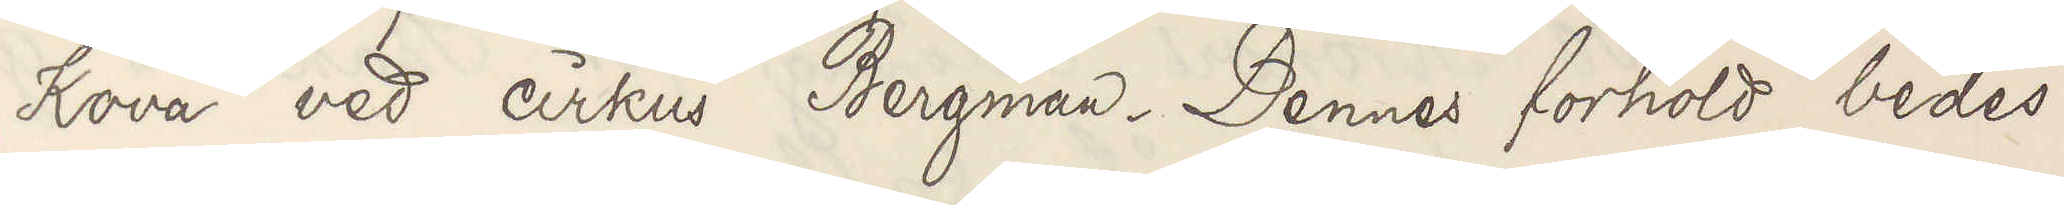Kova ved cirkus Bergman. Dennes forhold bedes
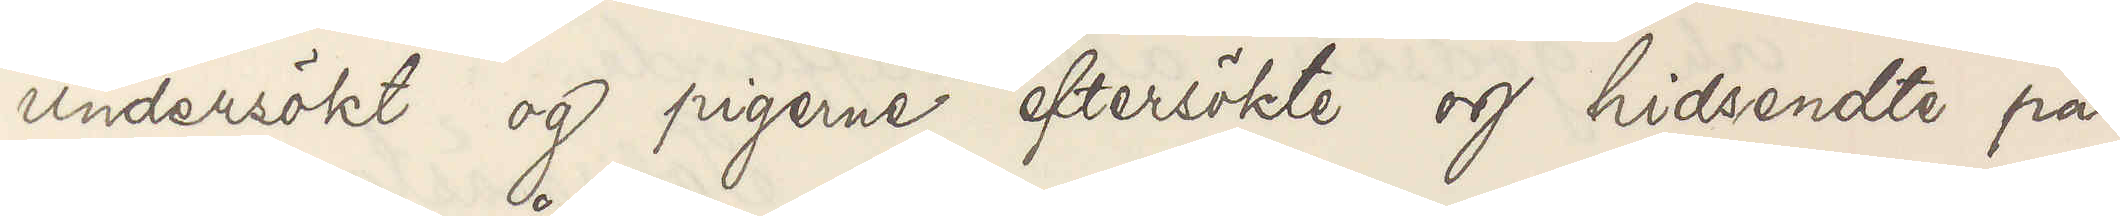undersökt og pigerne eftersökte og hidsendte på
